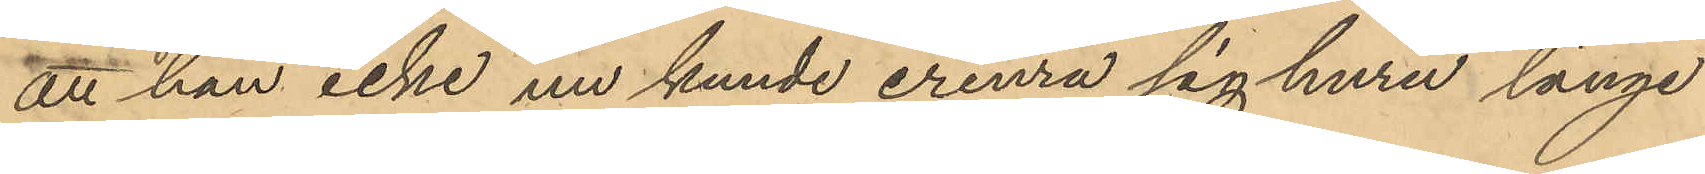att han icke nu kunde erinra sig huru länge
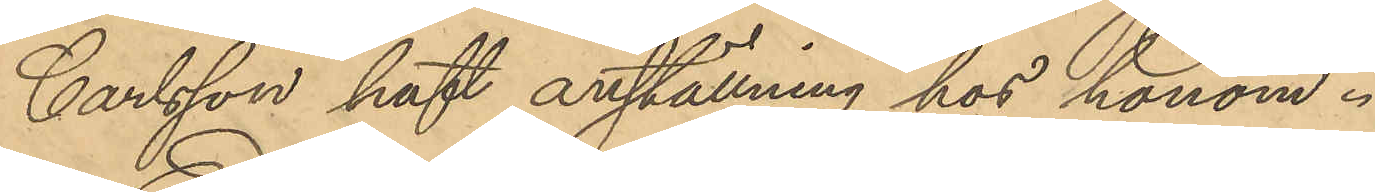Carlsson haft anställning hos honom.
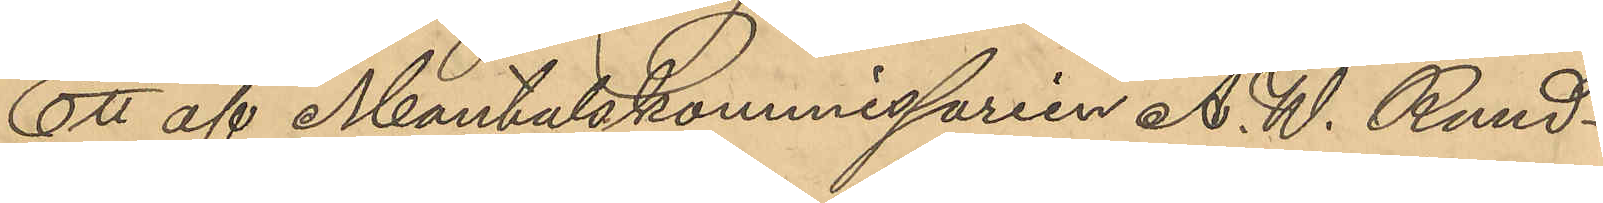Ett af Mantalskommissarien A. W. Rund¬
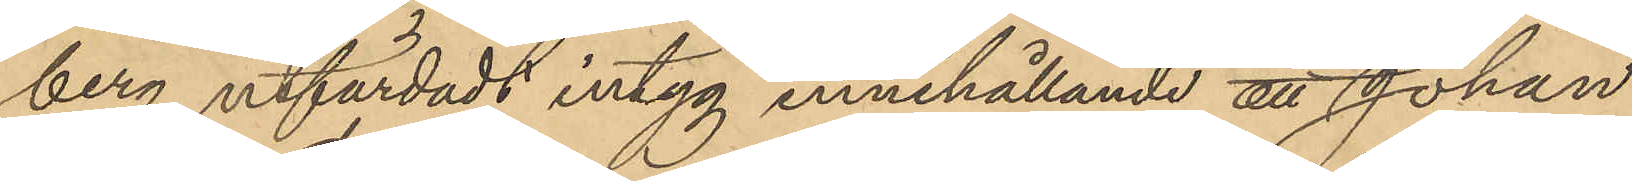berg utfärdadt intyg innehållande att Johan
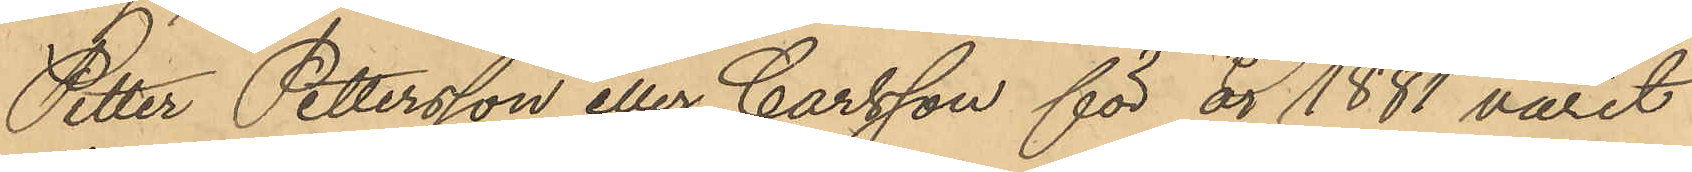Petter Pettersson eller Carlsson för år 1881 varit
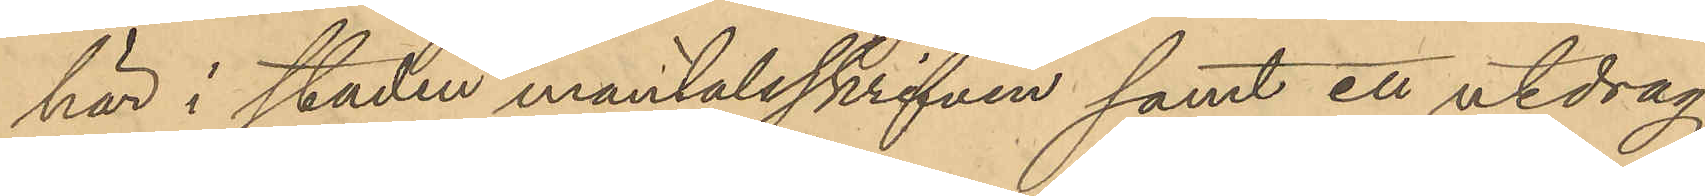här i staden mantalsskrifven samt ett utdrag
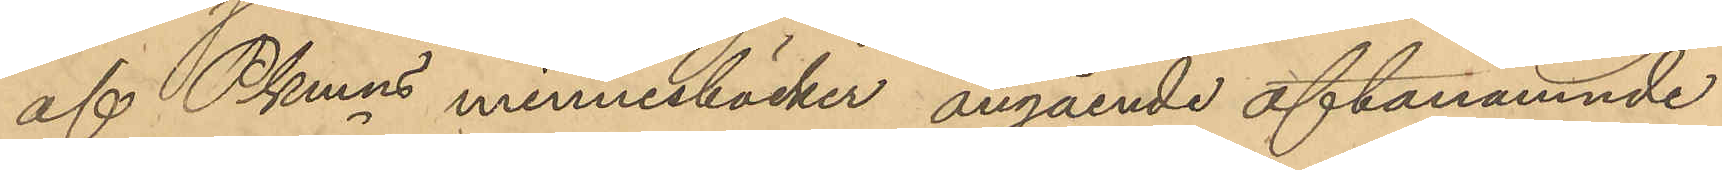af Pkmns minnesböcker, angående oftanämnde
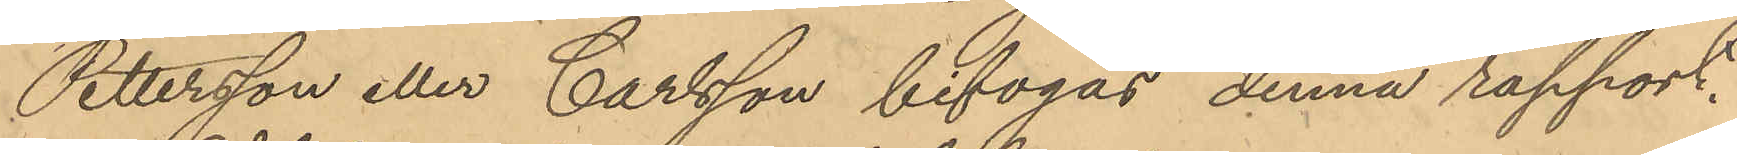Pettersson eller Carlsson bifogas denna rapport.
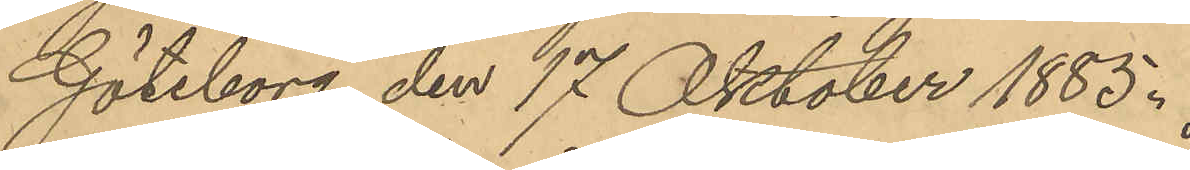Göteborg den 17 Oktober 1885.
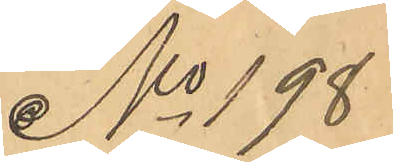No 198
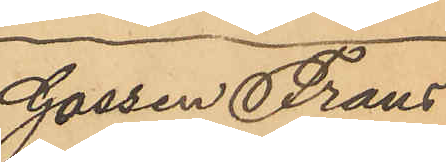Gossen Frans
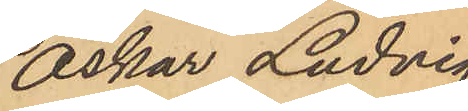Oskar Ludvig
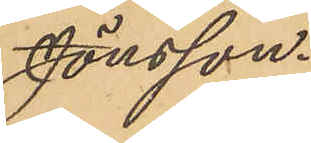Jönsson.
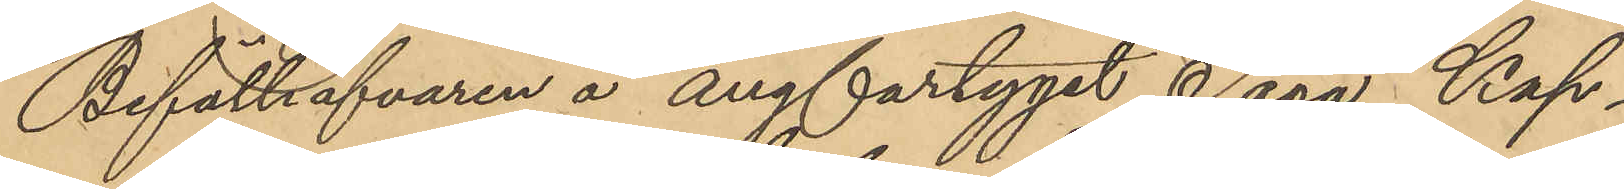Befälhafvaren å ångfartyget "Saga" Kap¬
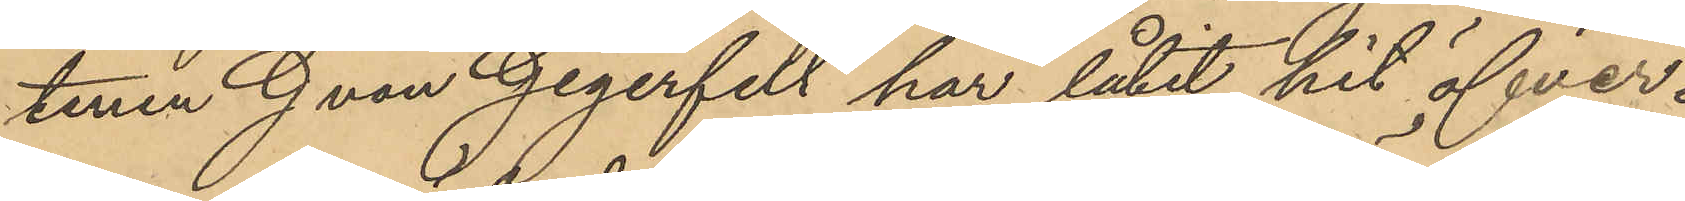tenen G von Gegerfelt har låtit hit öfver¬
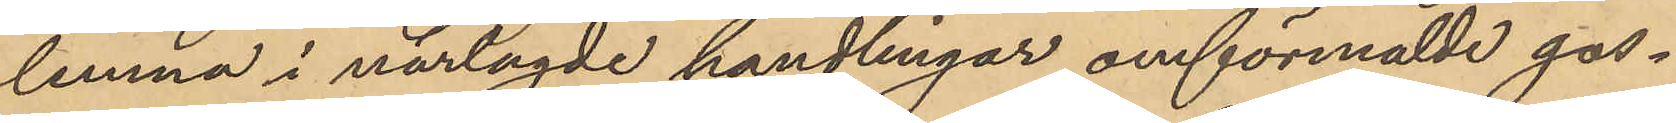lemna i närlagde handlingar omförmälde gos¬
